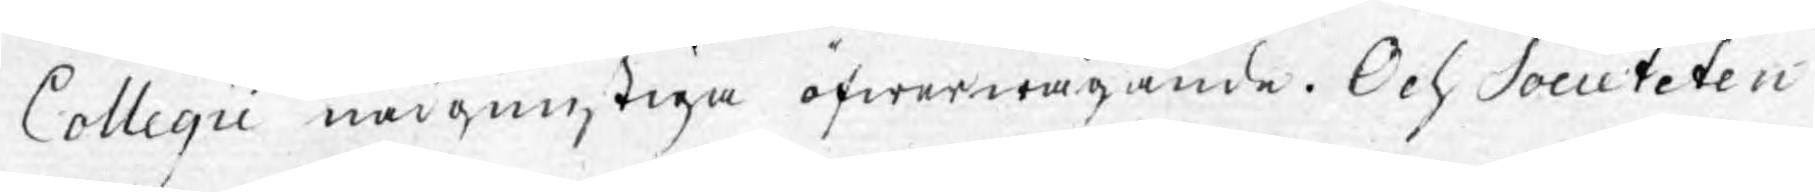Collegii nådgunstiga öfwerwägande. Och Societeten
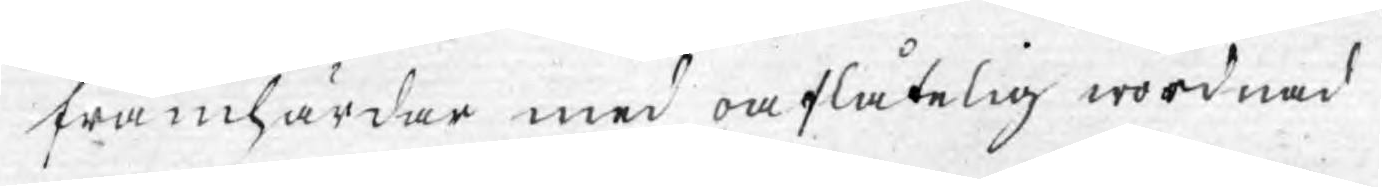framhärdar med oaflåtelig wördnad
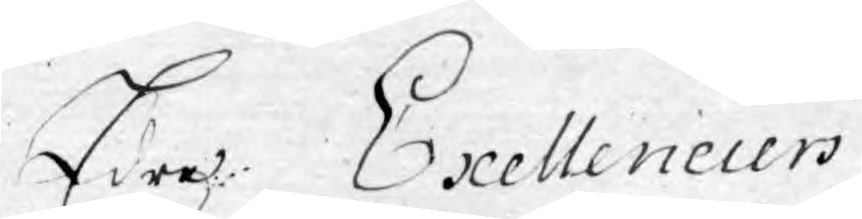Edre Exellenciers
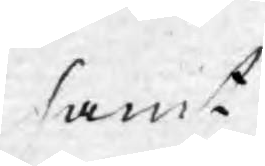samt
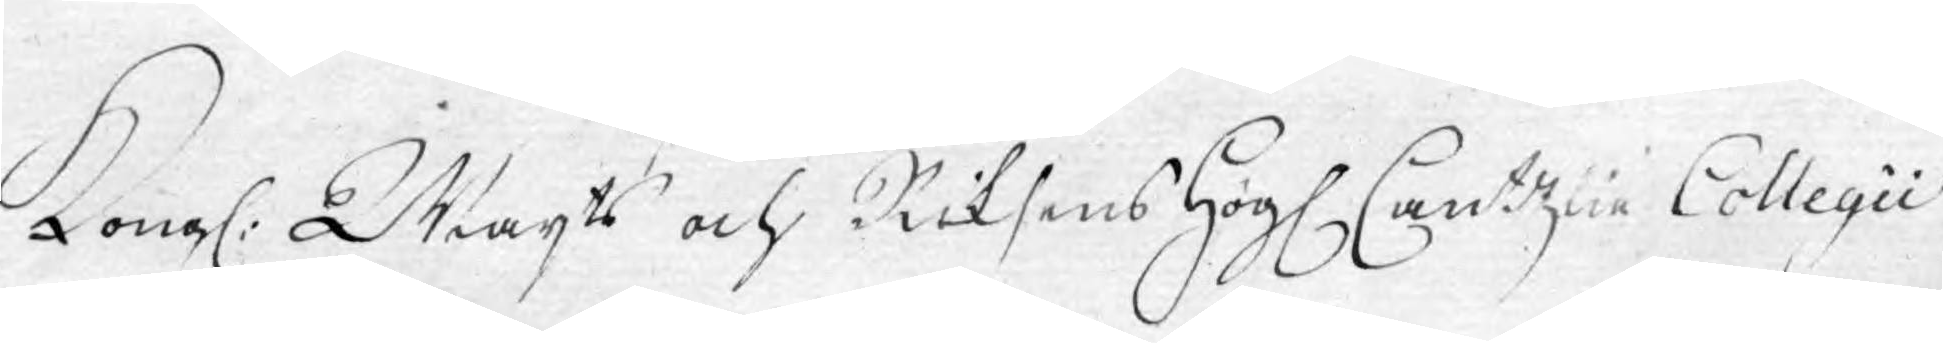Kongl: Majts och Riksens Högl. Cantzlie Collegii
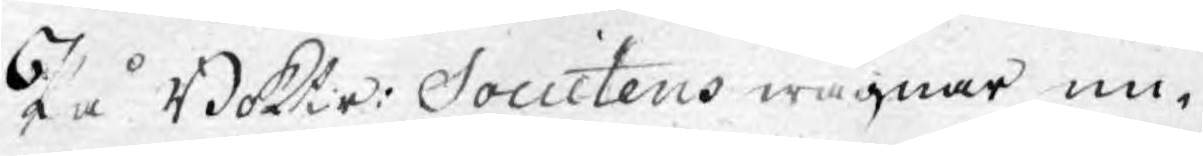På Boktr: Societens wägnar un¬
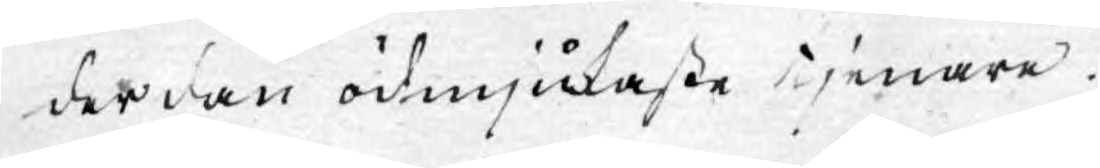derdån ödmjukaste tjenare.
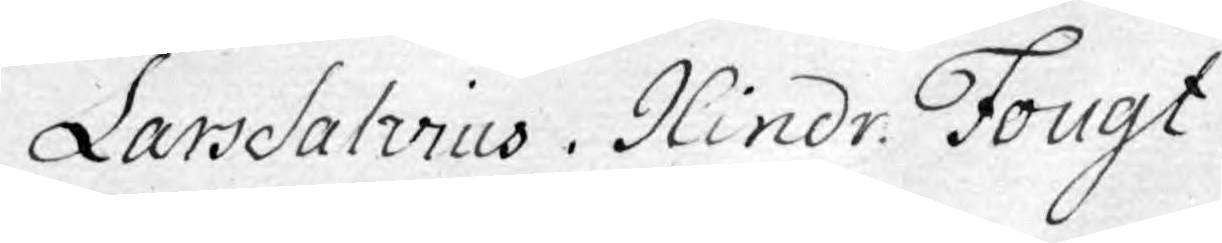Lars Salvius. Hindr. Fougt.
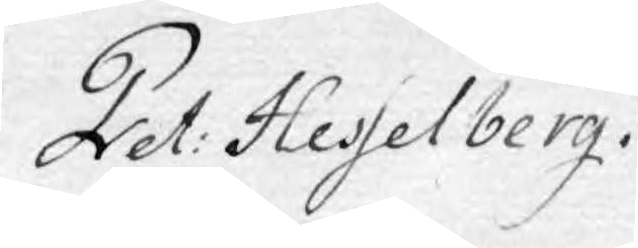Pet: Hesselberg.
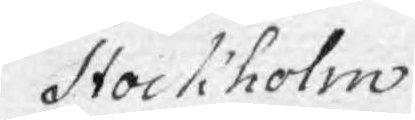Stockholm
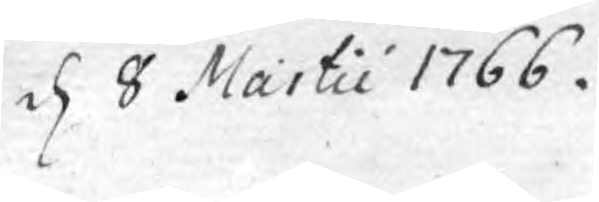d. 8 Martii 1766.
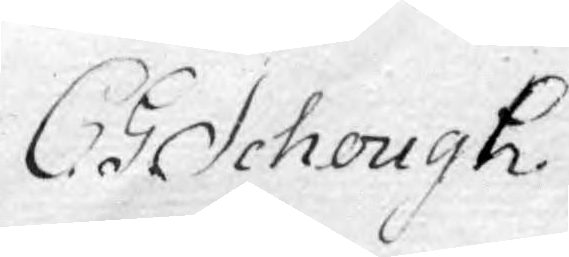C. G. Schough.
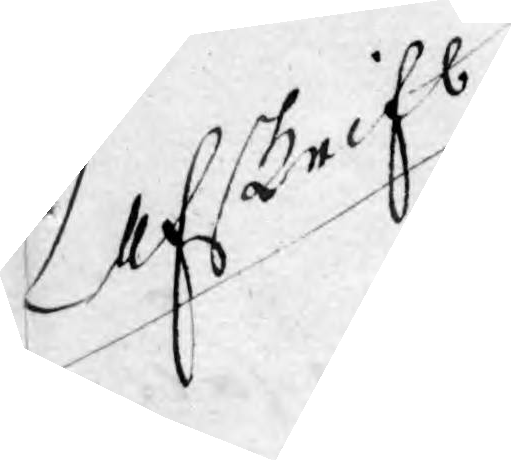Afskrift
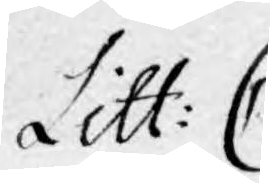Litt: C
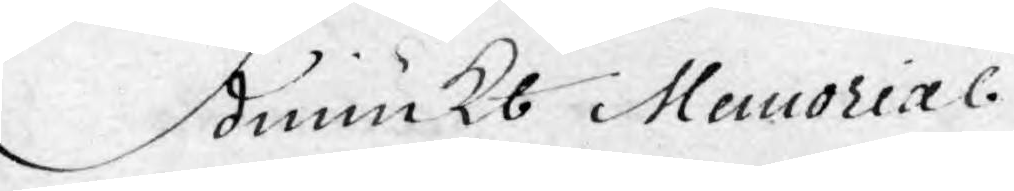Ödmiukt Memorial.
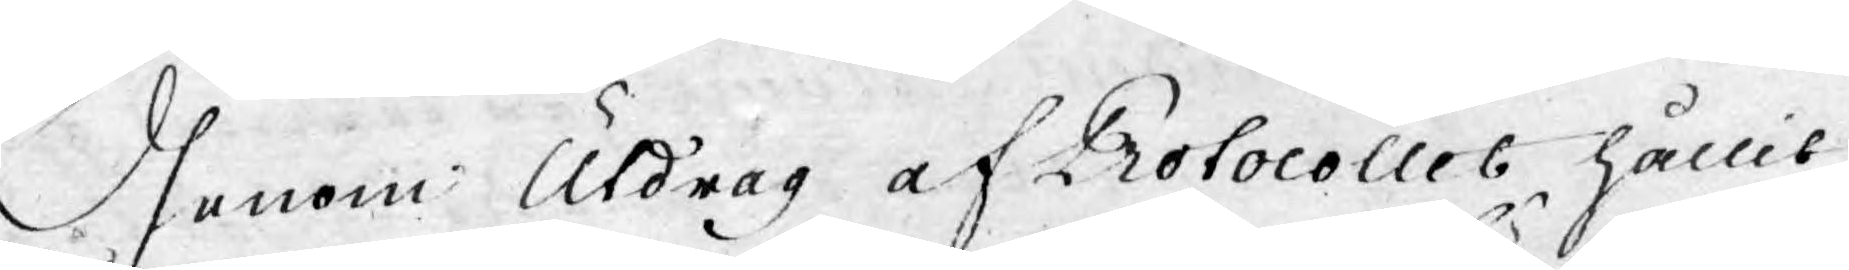Igenom Utdrag af Protocollet hållit
